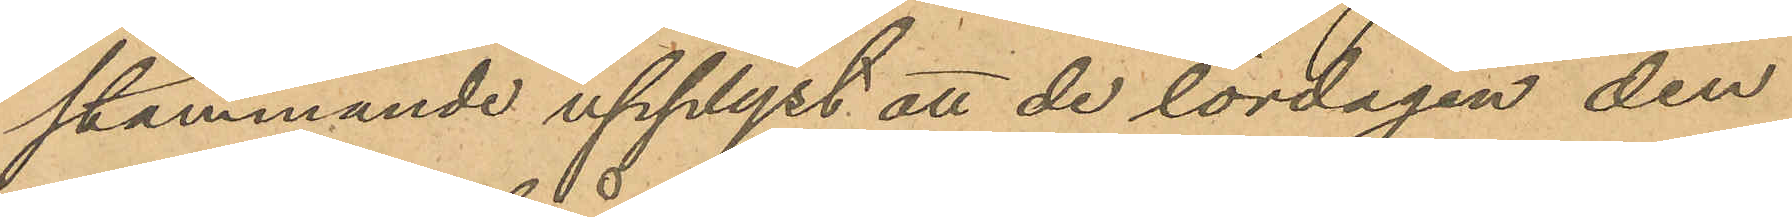stämmande upplyst att de lördagen den
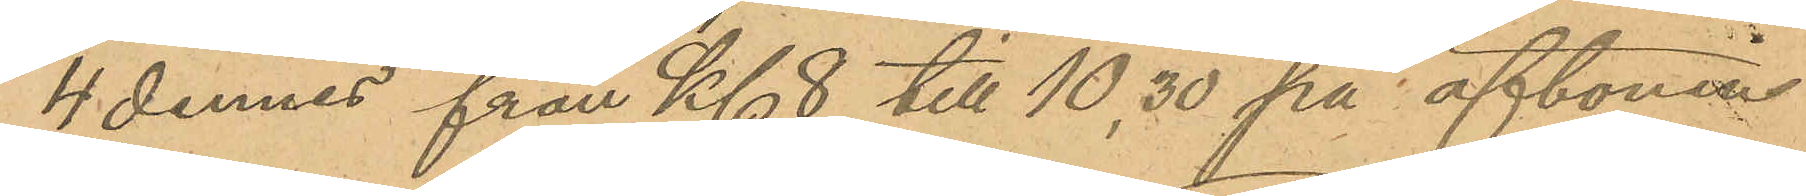4 dennes från Kl 8 till 10,30 på aftonen
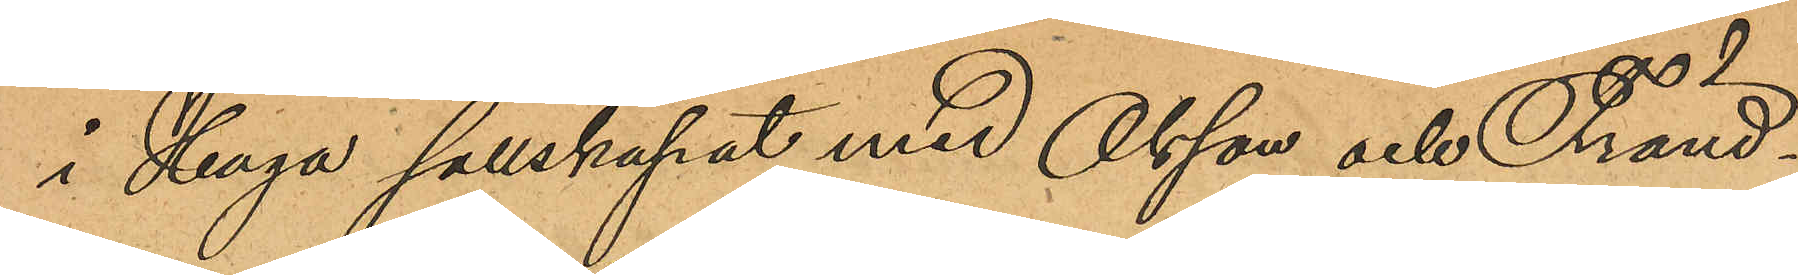i Haga sällskapat med Olsson och Fränd¬
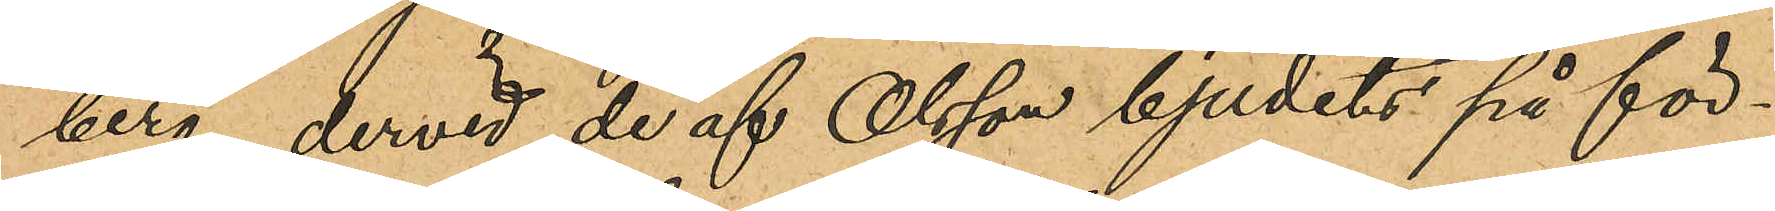berg, dervid de af Olsson bjudits på för¬
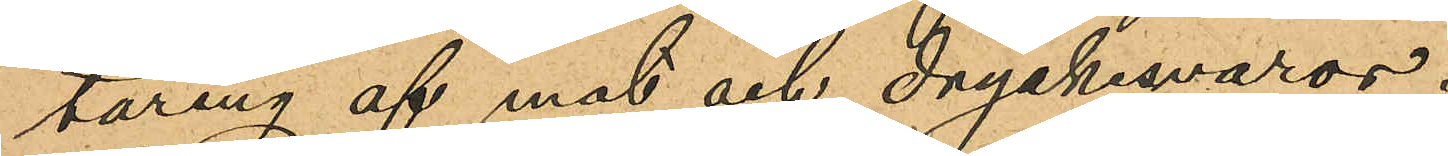täring af mat och dryckesvaror.
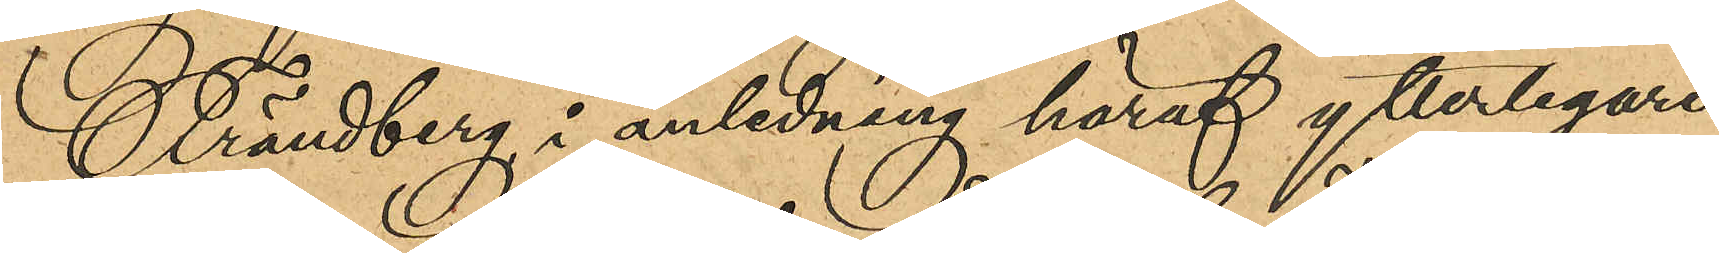Frändberg i anledning häraf ytterligare
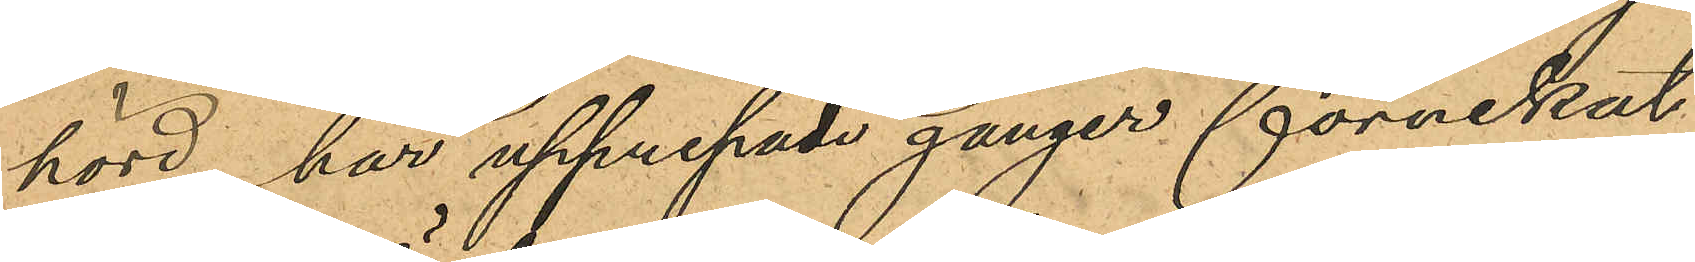hörd, har upprepade gånger förnekat,
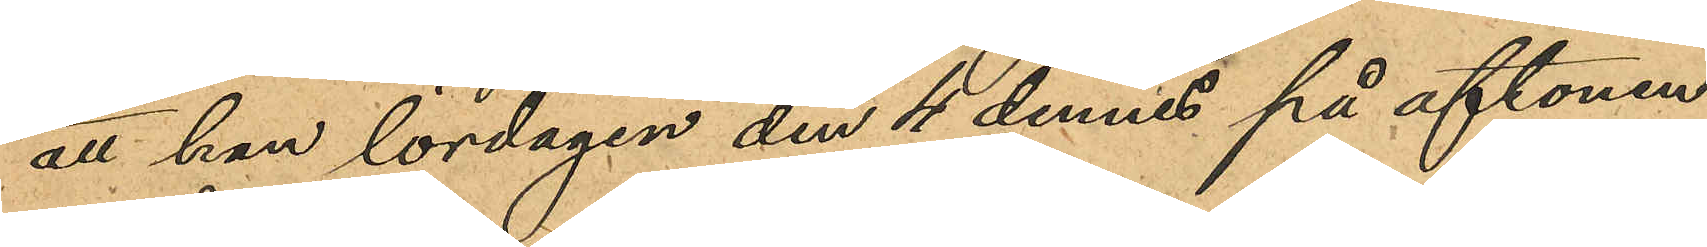att han lördagen den 4 dennes på aftonen
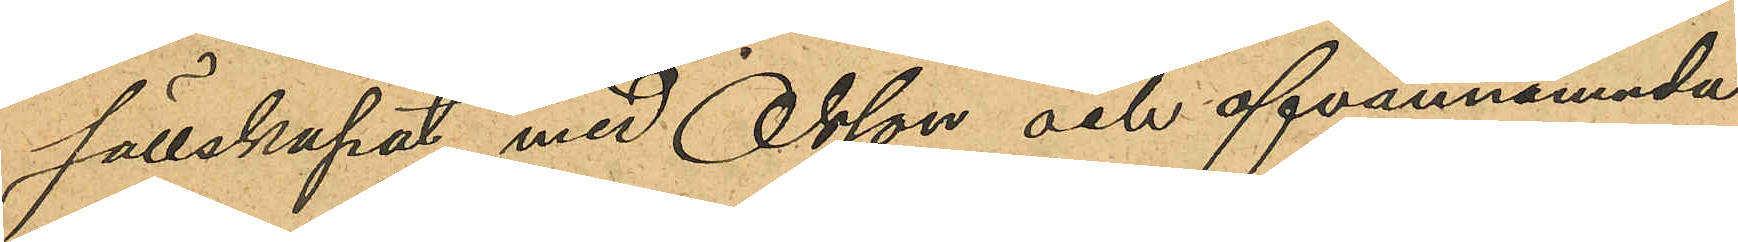sällskapat med Olsson och ofvannämnda
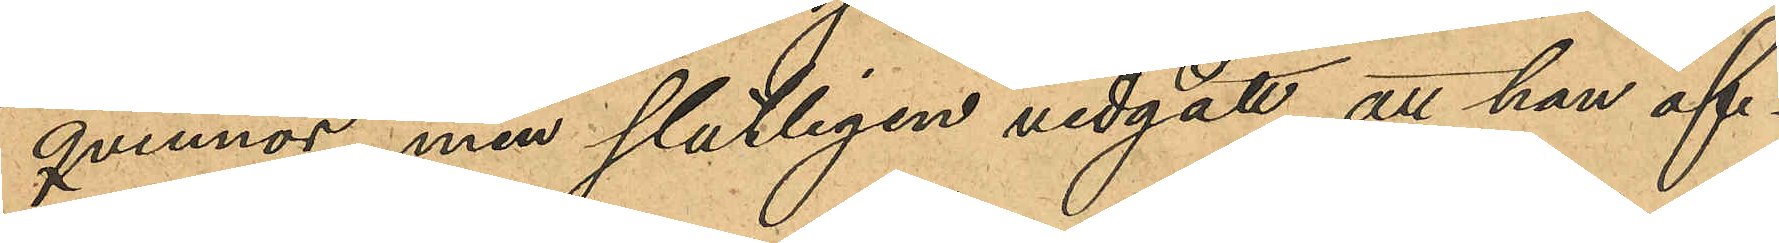qvinnor, men slutligen vidgått att han of¬
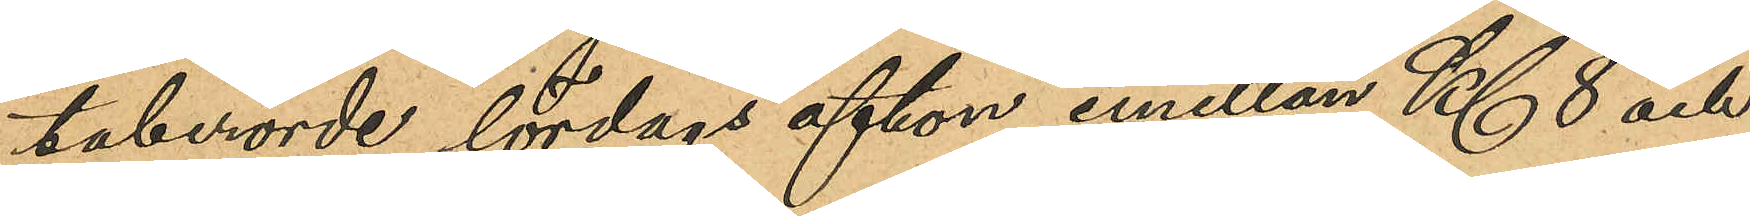taberörde lördags afton emellan Kl 8 och
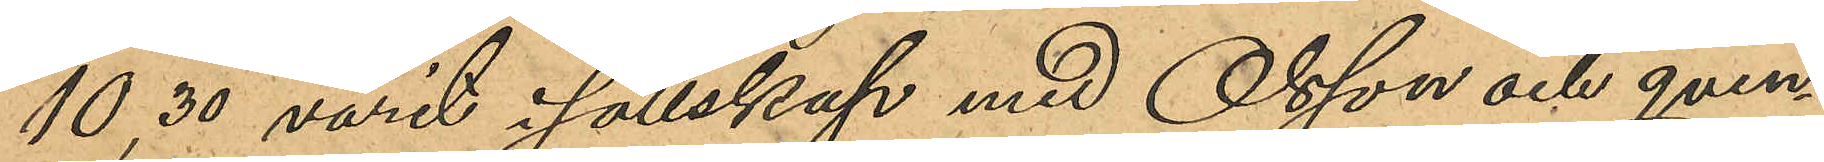10,30 varit i sällskap med Olsson och qvin¬
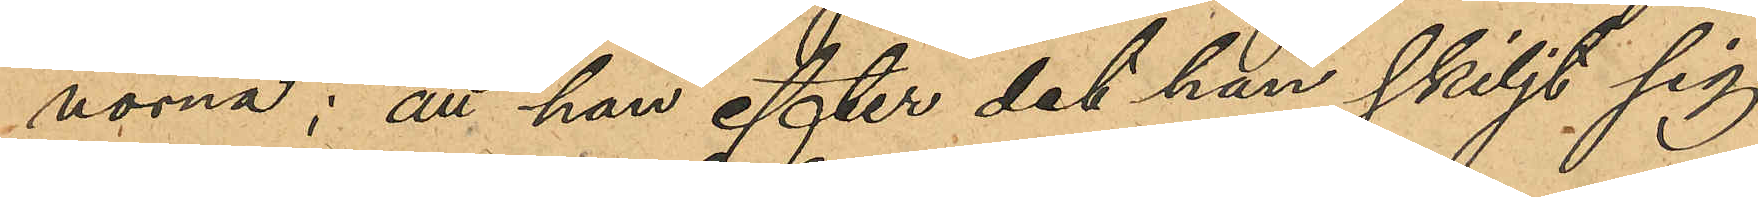norna; att han efter det han skiljt sig
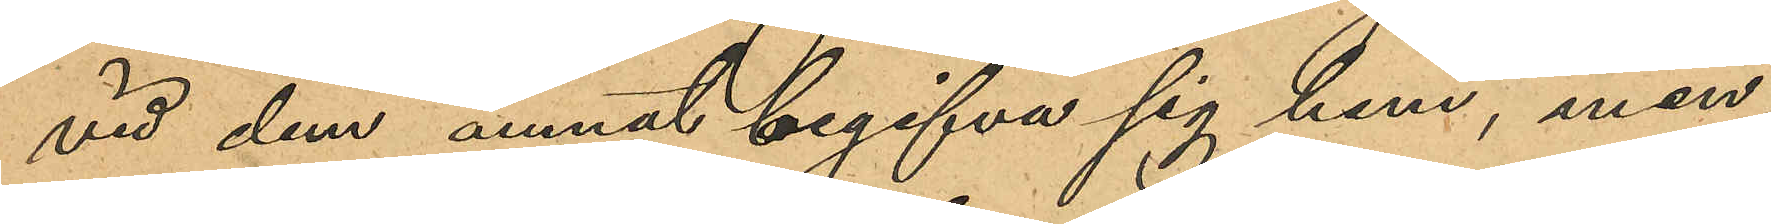vid dem ämnat begifva sig hem, men
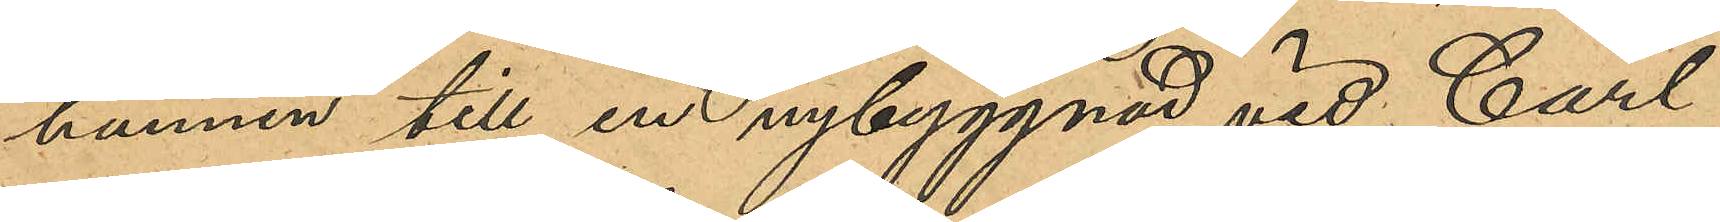hunnen till en nybyggnad vid Carl
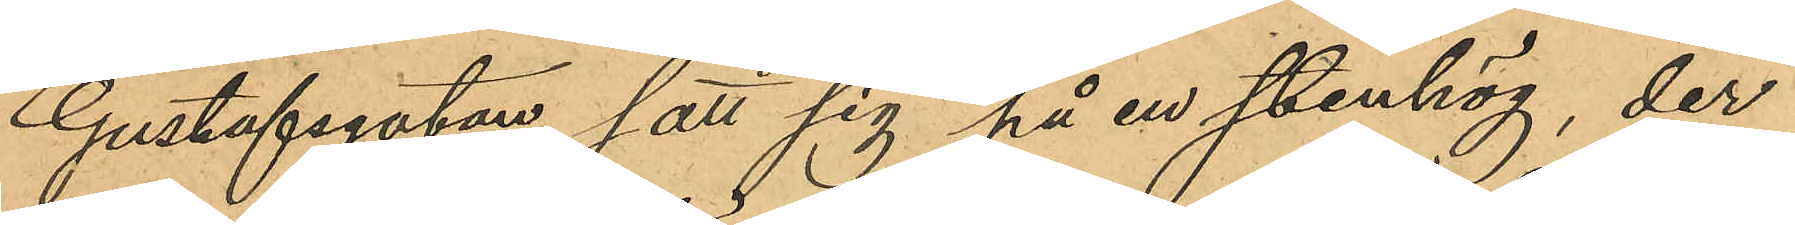Gustafsgatan satt sig på en stenhög, der
